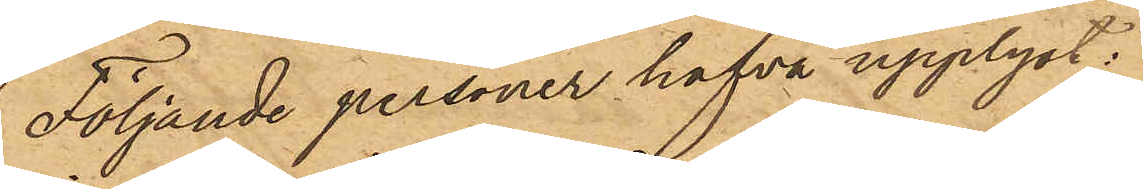Följande personer hafva upplyst:
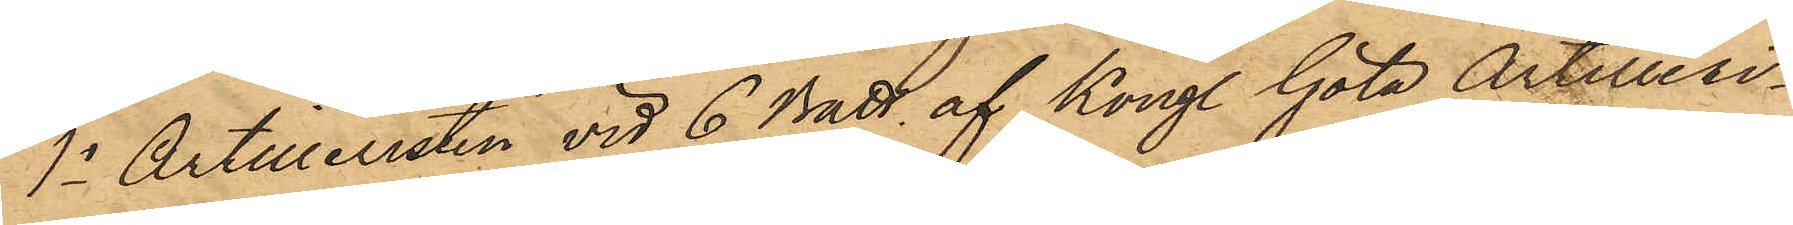1o Artilleristen vid 6 Batt. af Kongl. Göta Artilleri¬
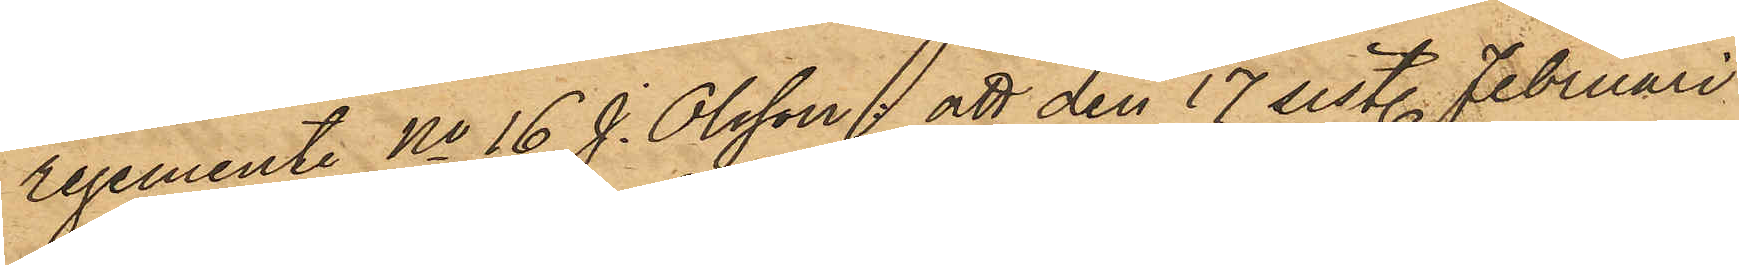regemente No 16 J. Olsson, att den 17 sist. Februari
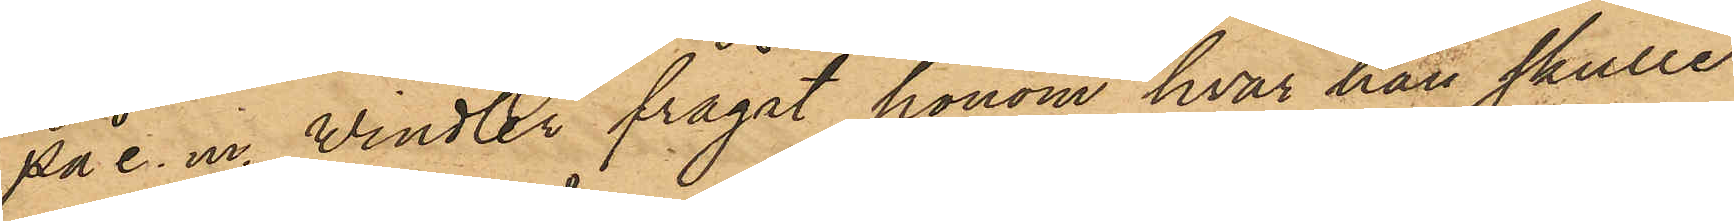på e. m. Windler frågat honom hvar han skulle
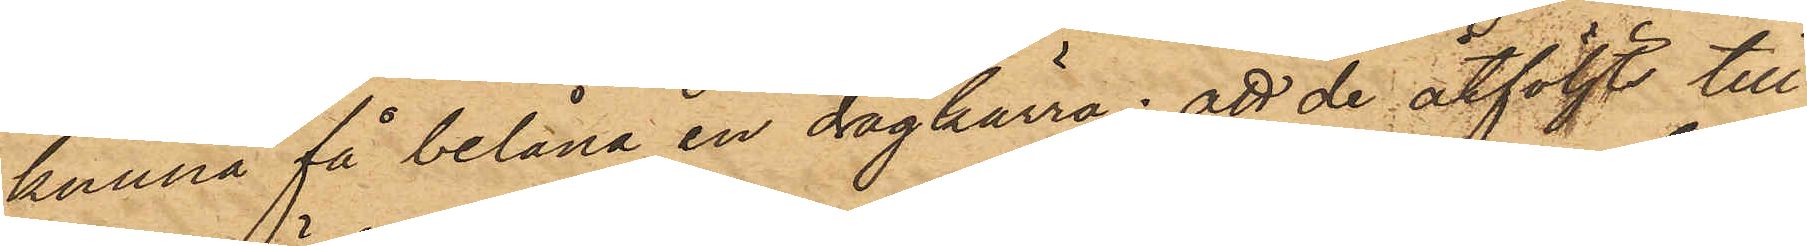kunna få belåna en dragkärra; att de åtföljts till
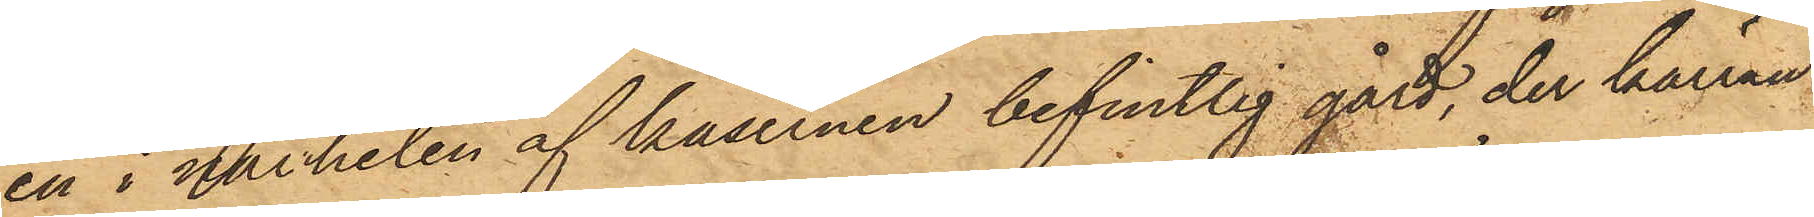en i närheten af kasernen befintlig gård, der kärran
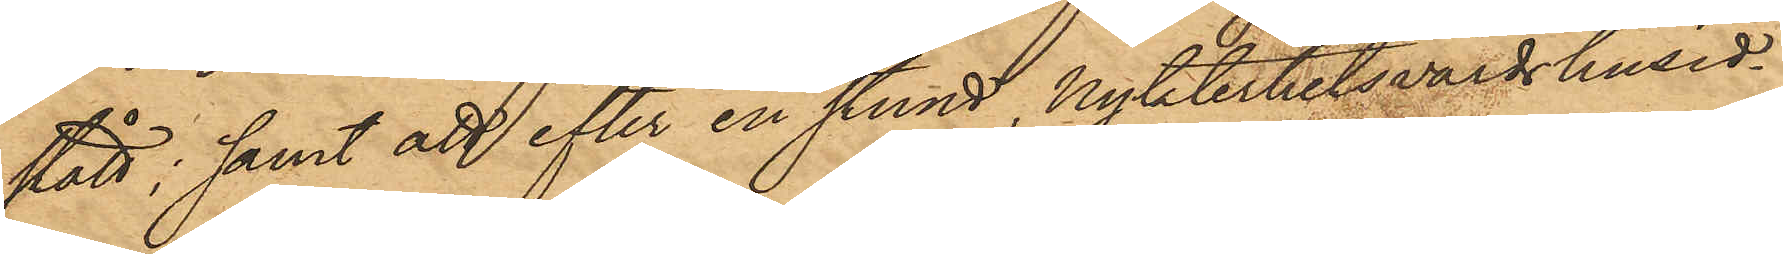stått; samt att efter en stund, nykterhetsvärdshusid¬
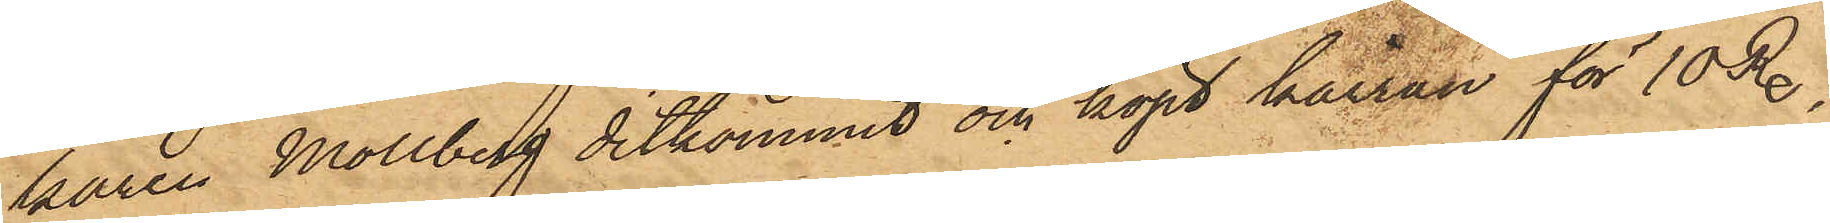karen Mollberg ditkommit och köpt kärran för 10 Rdr
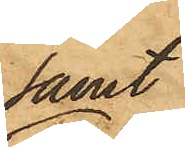samt
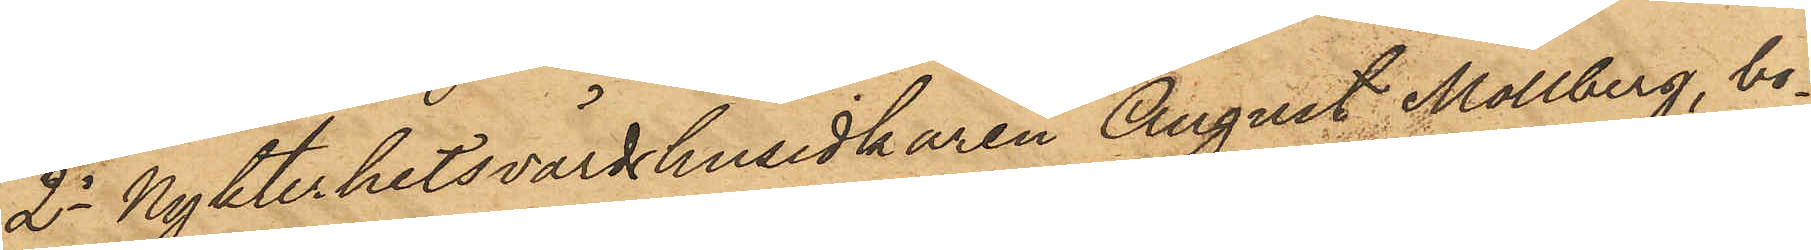2o Nykterhetsvärdshusidkaren August Mollberg, bo¬
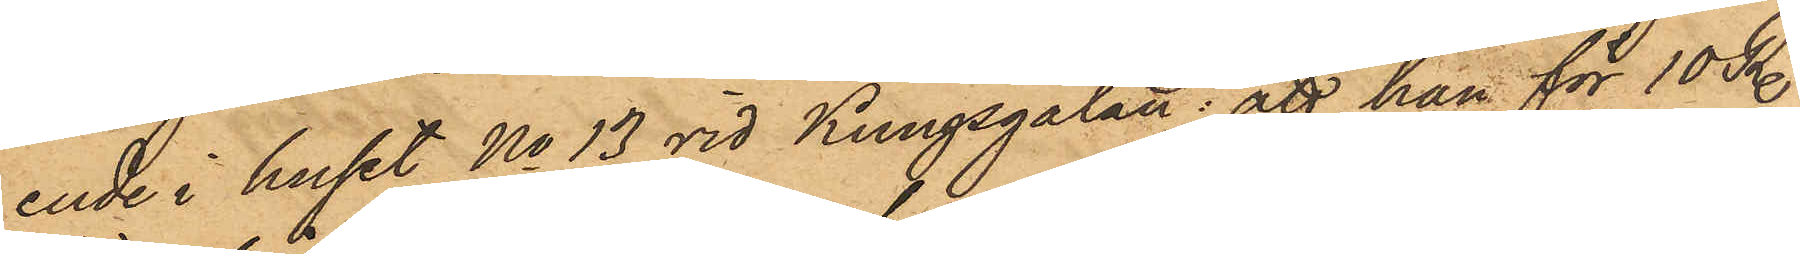ende i huset No 13 vid Kungsgatan, att han för 10 Rdr
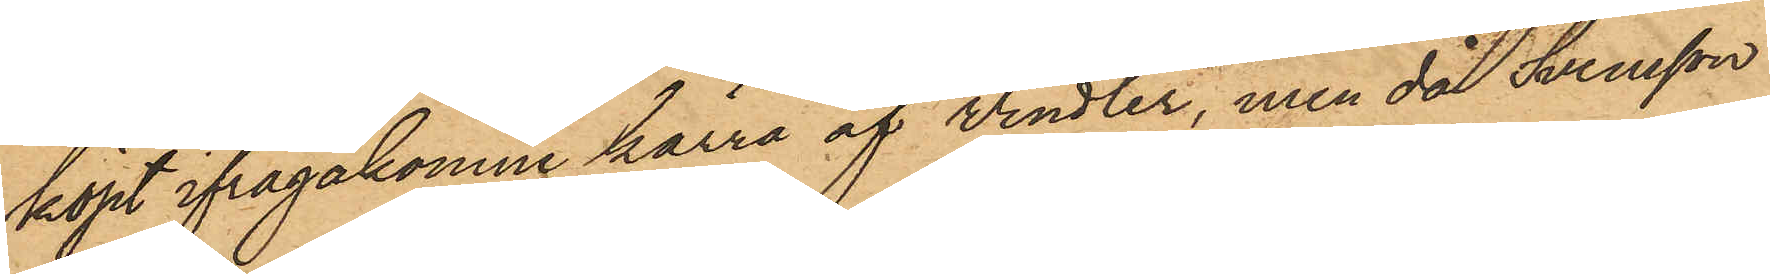köpt ifrågakomne kärra af Windler, men då Svensson
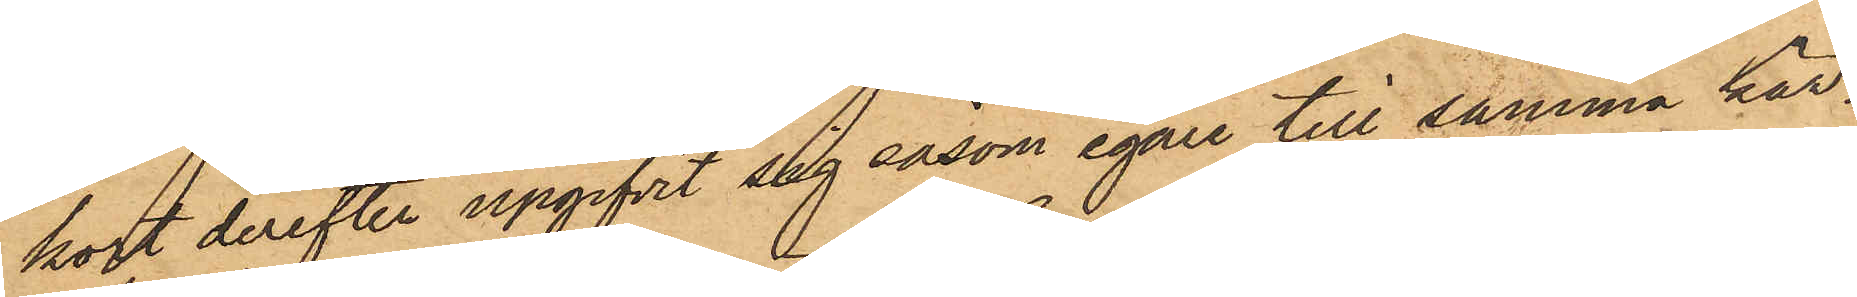kort derefter upgifvit såg såsom egare till samma kär¬
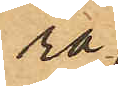ra
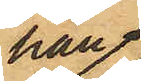han
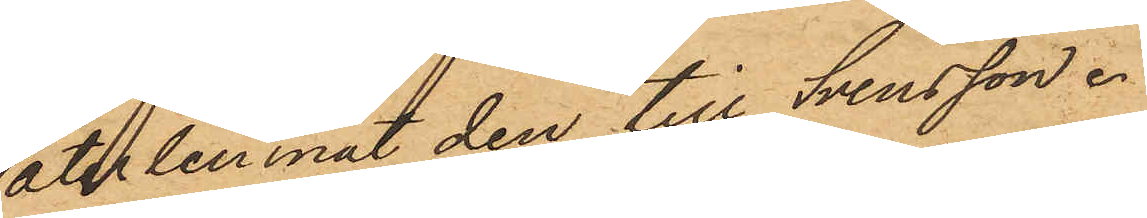återlemnat den till Svensson.
